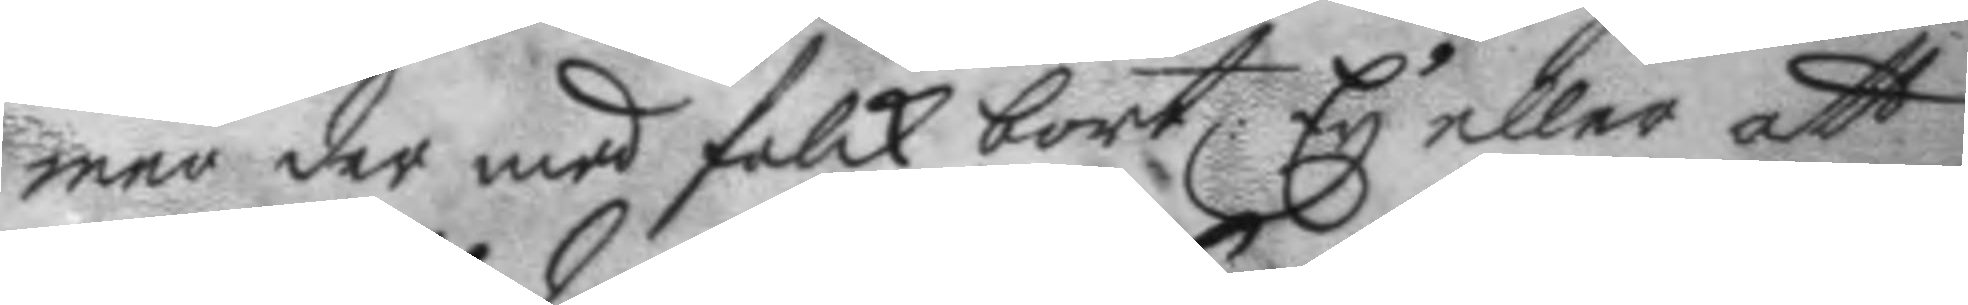mer der med folck bort: Ey eller att 
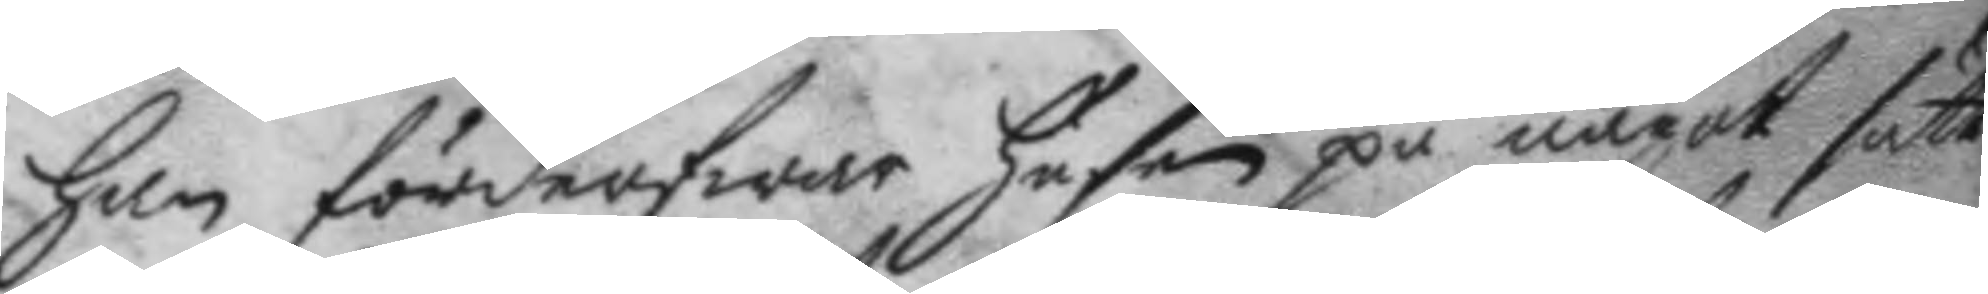han förderfwar husen på något sätt:
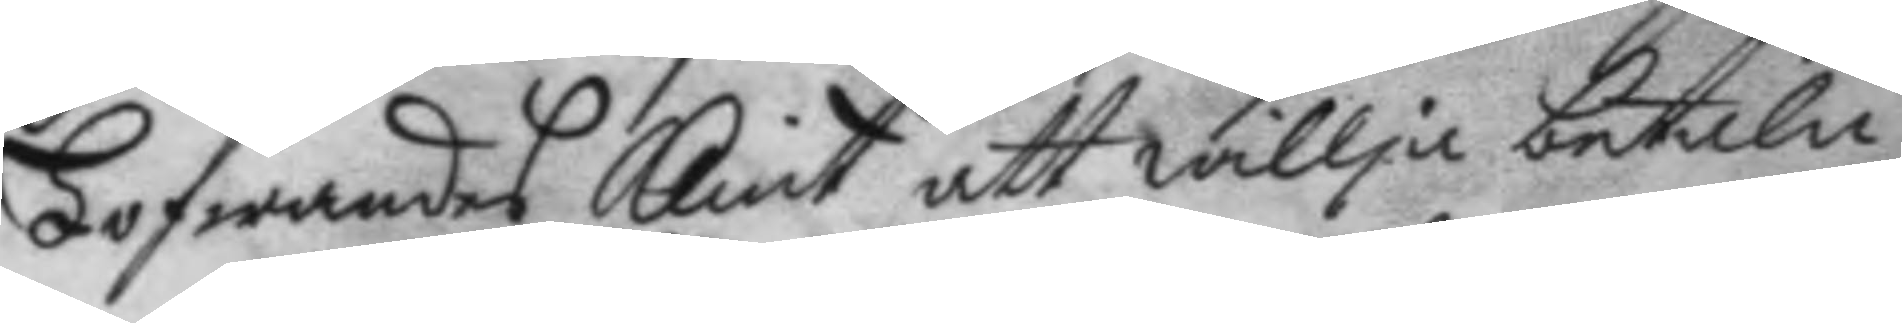Lofwandes Klint att willja betala
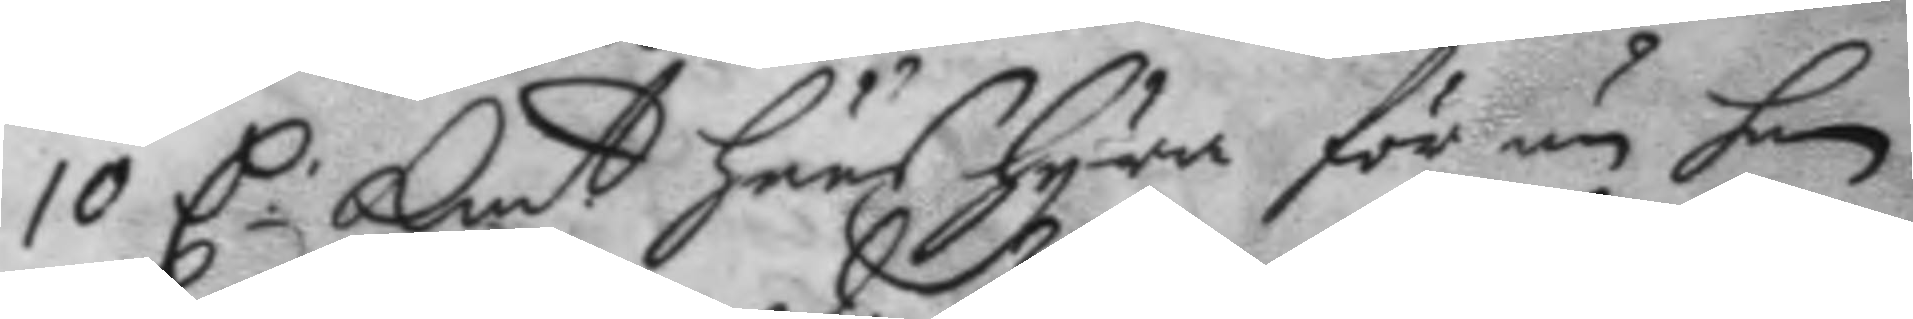10 C. Kmt. huus hyra för än han 
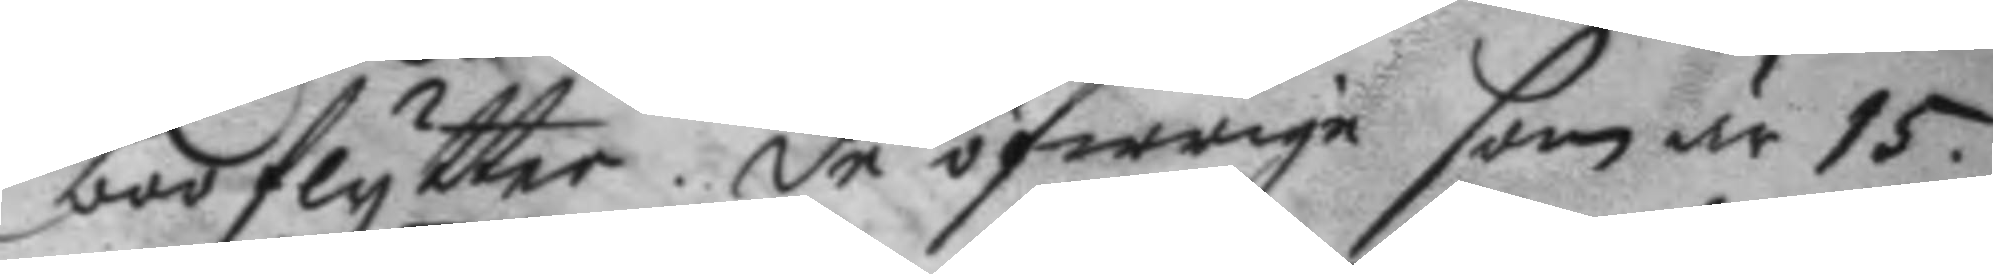boo flytter: de öfwrige som är 15.
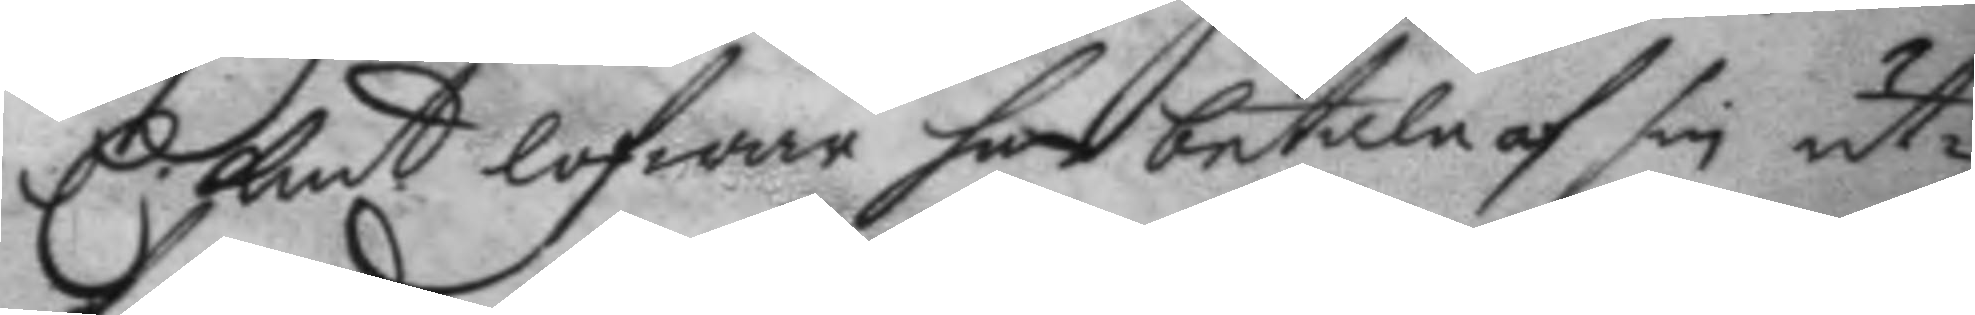C kmt lofwar han betala af sin ut¬
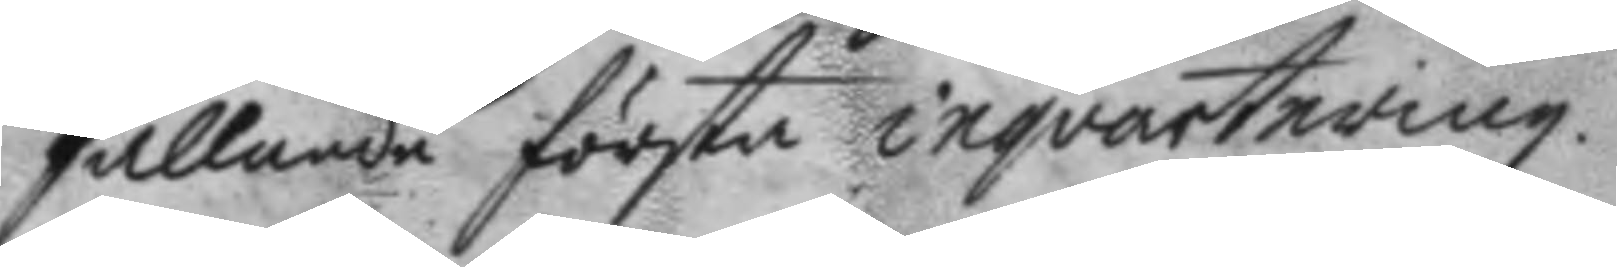fallande första inqvartering.
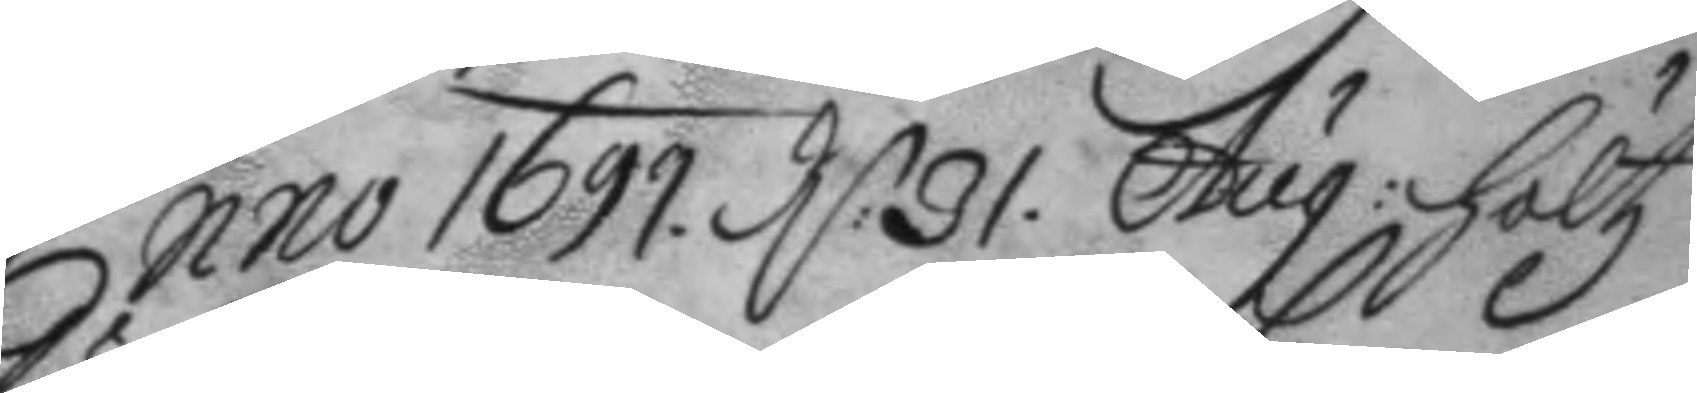Anno 1699 d: 31 Aug: höltz 
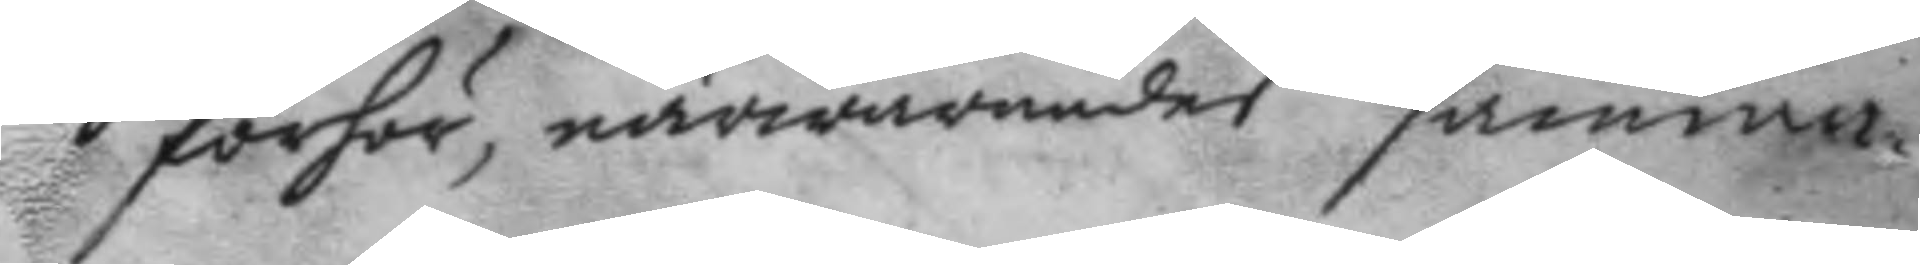förhör, närwarandes samma
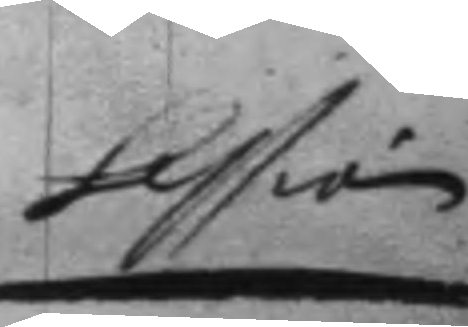session
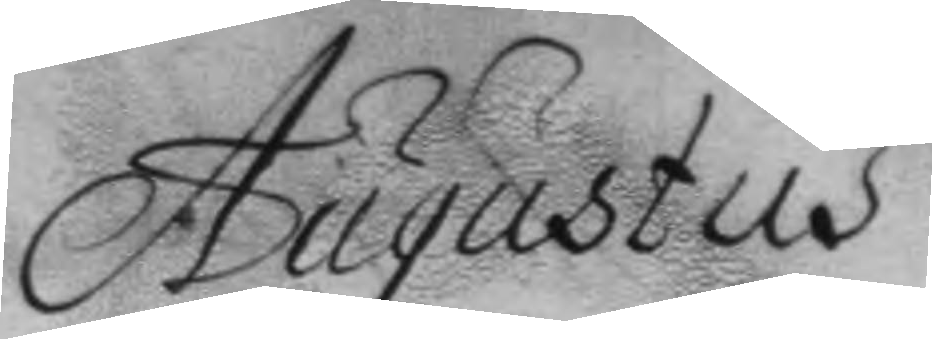Augustus
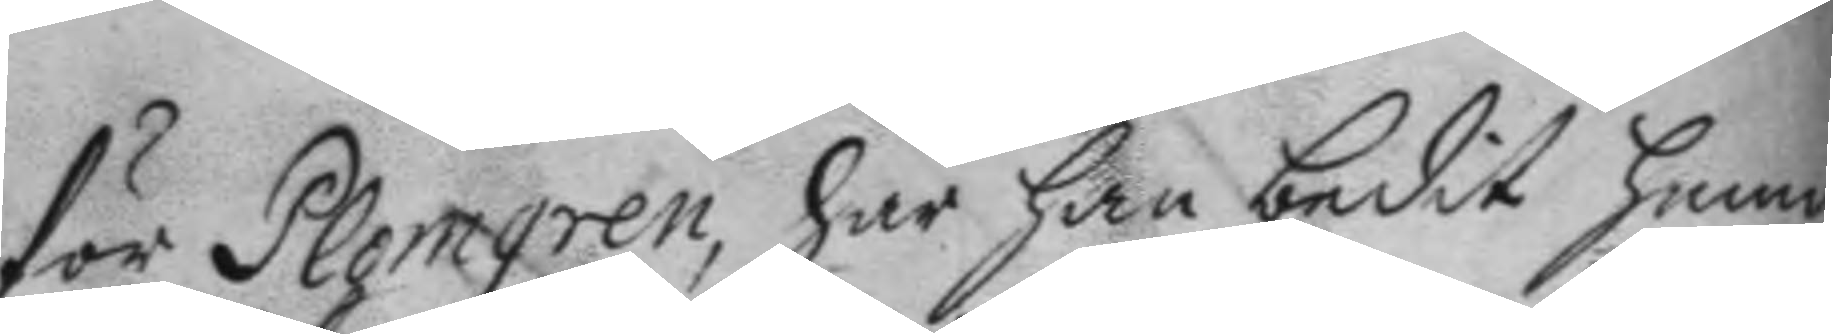för Plomgren, har han bedit henne
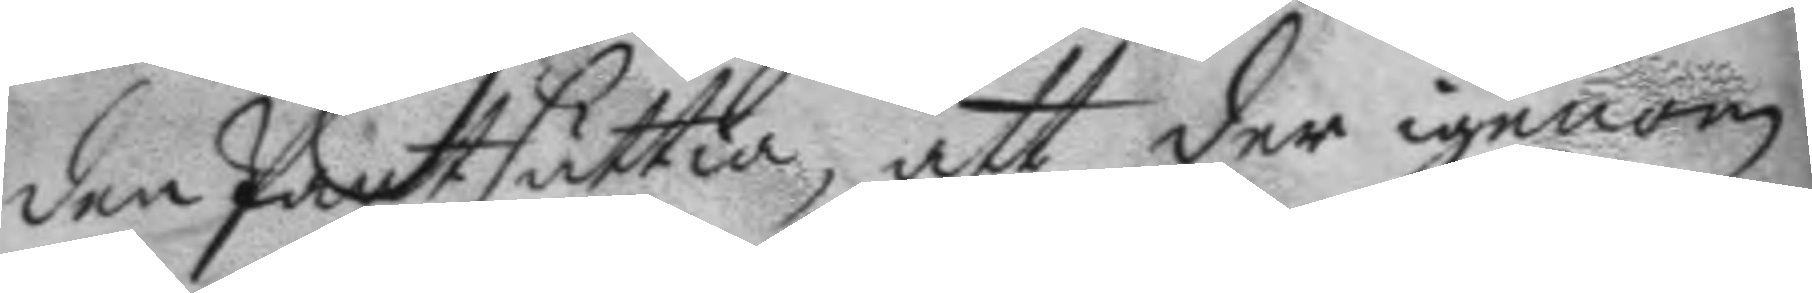den Pantsättia, att der igenom
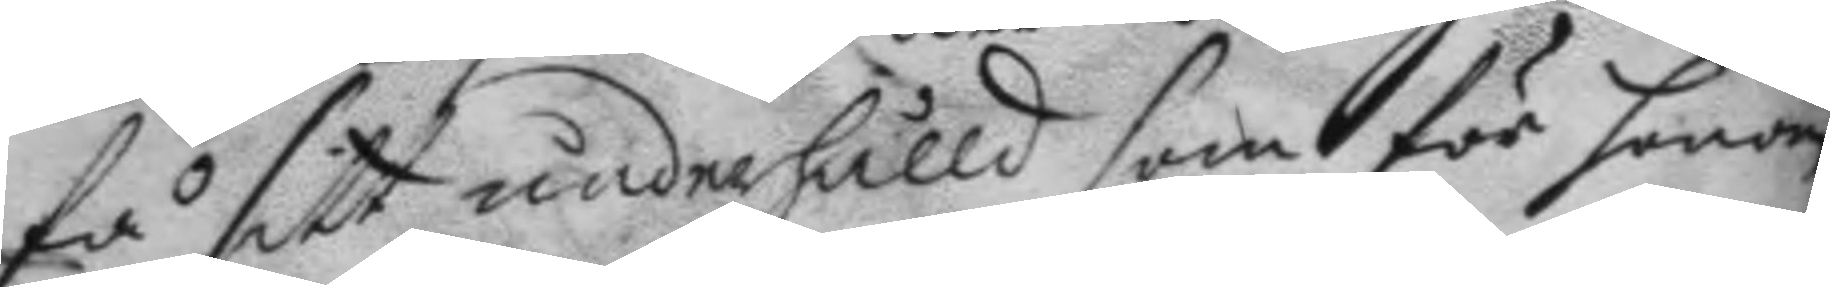få sitt underhålld som för honom
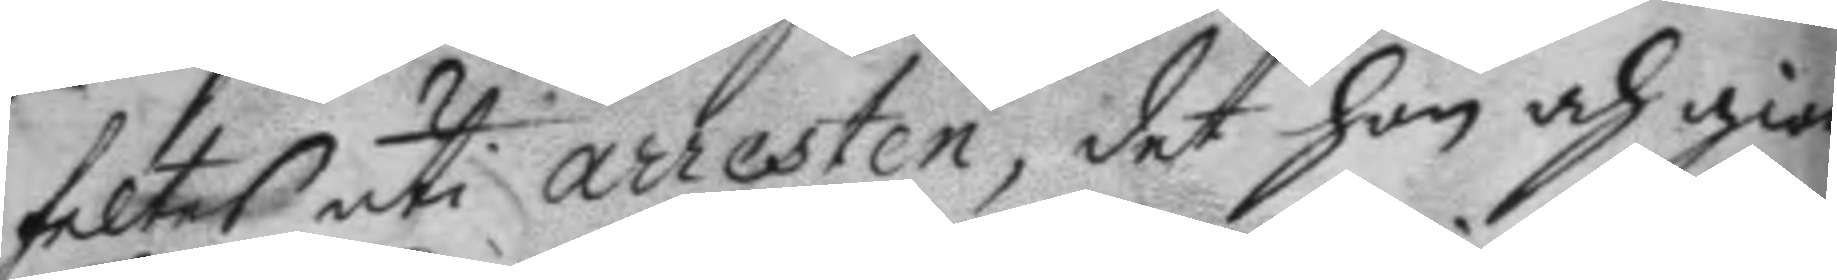feltes uti arresten, det hon och gior¬
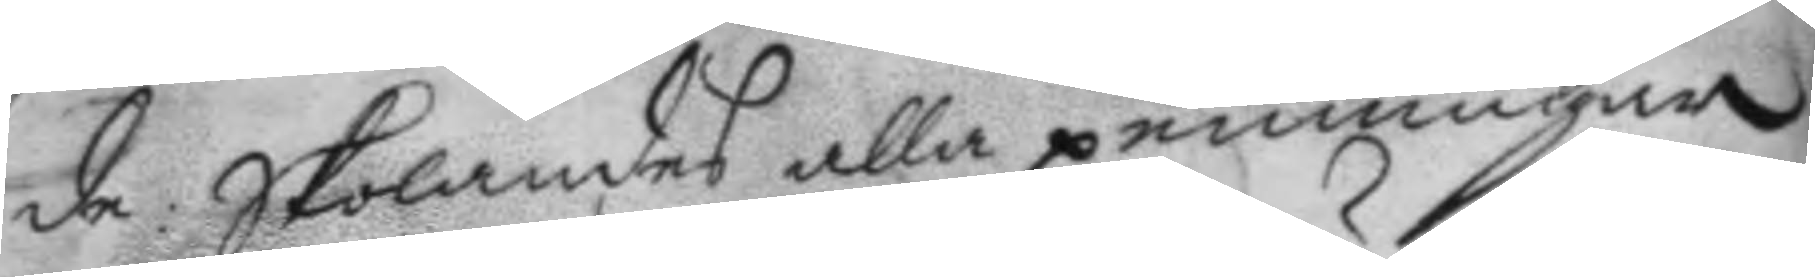de: skolandes alla penningar
